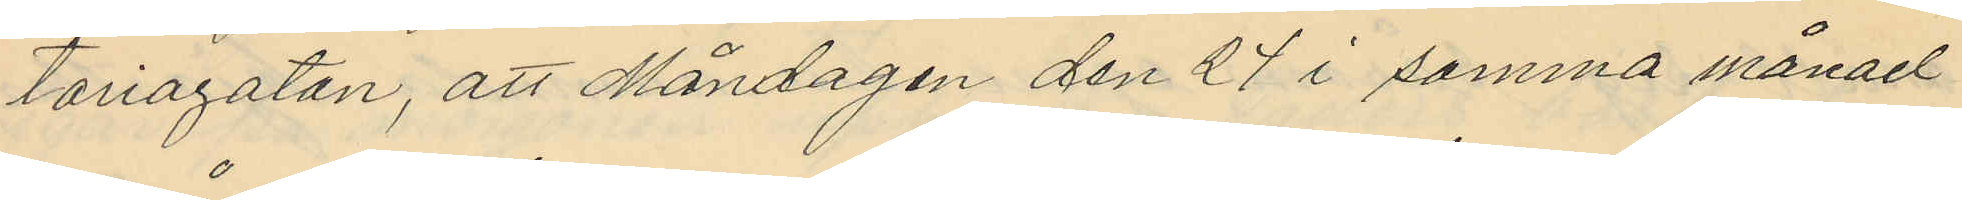toriagatan, att Måndagen den 27 i samma månad
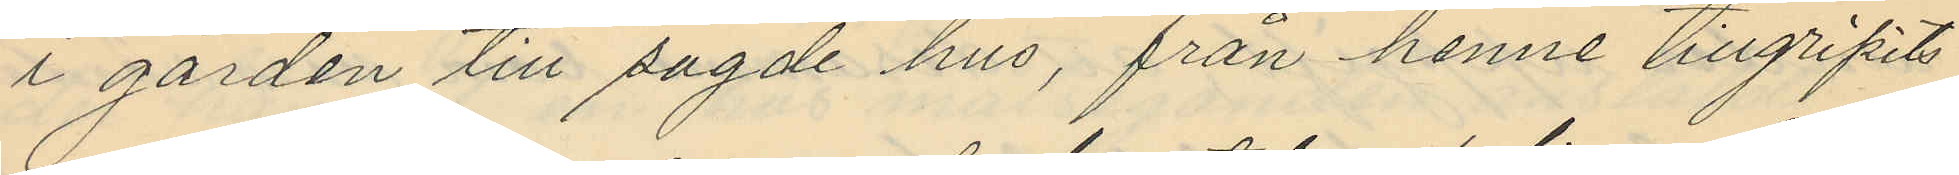i gården till sagde hus, från henne tillgripits
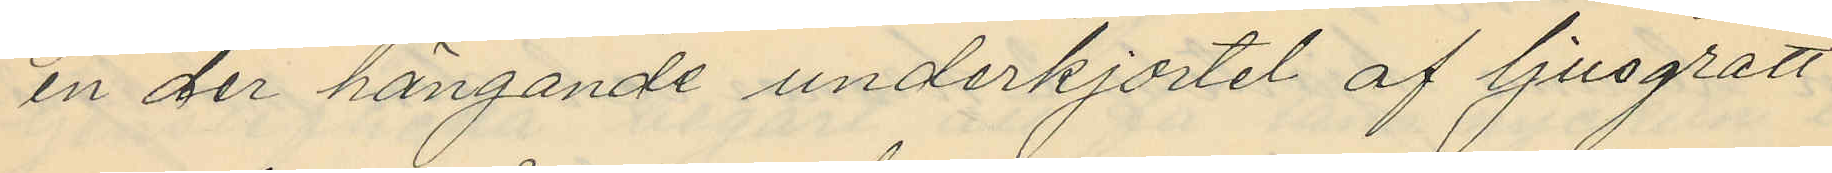en der hängande underkjortel af ljusgrått
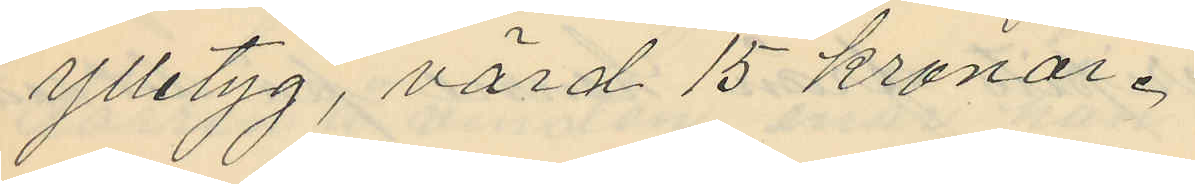ylletyg, värd 15 kronor.
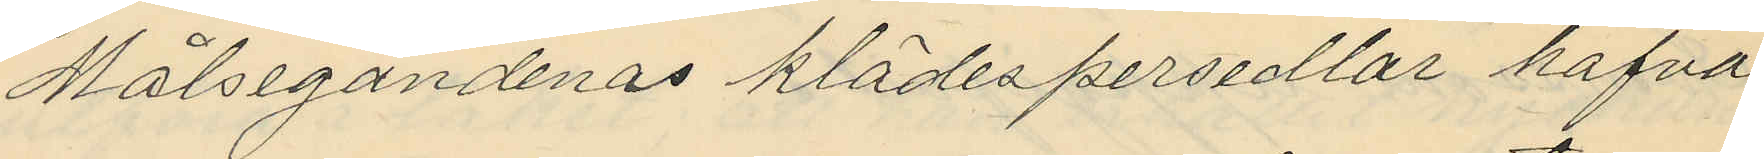Målsegandenas klädespersedlar hafva
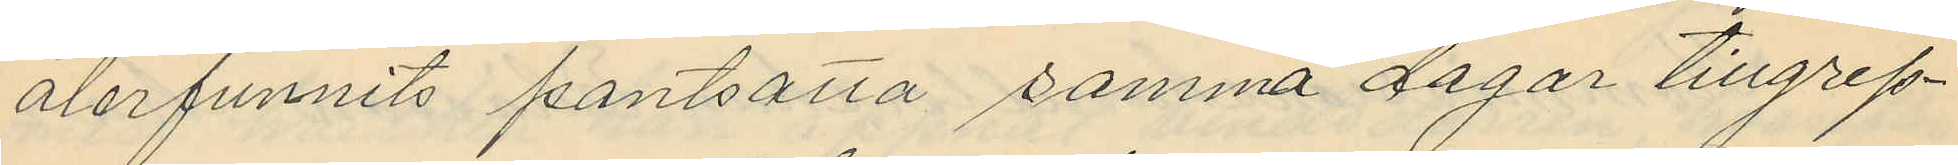återfunnits pantsatta samma dagar tillgrep¬
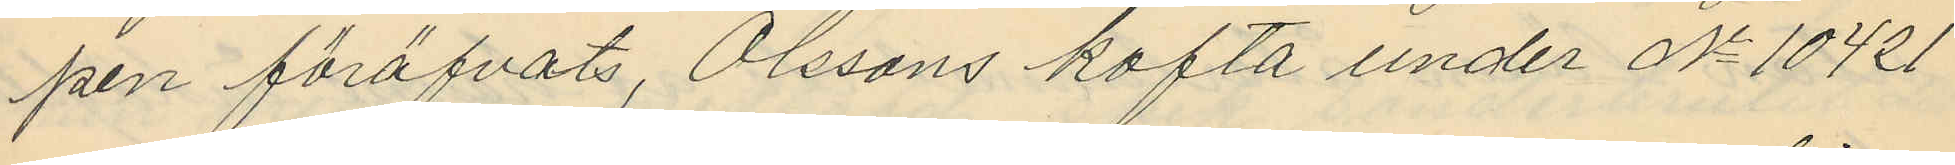pen föröfvats, Olssons kofta under No 10421
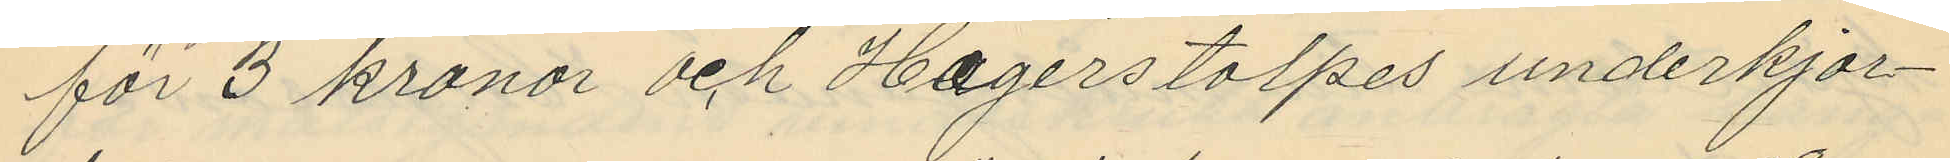för 3 kronor och Hagerstolpes underkjor¬
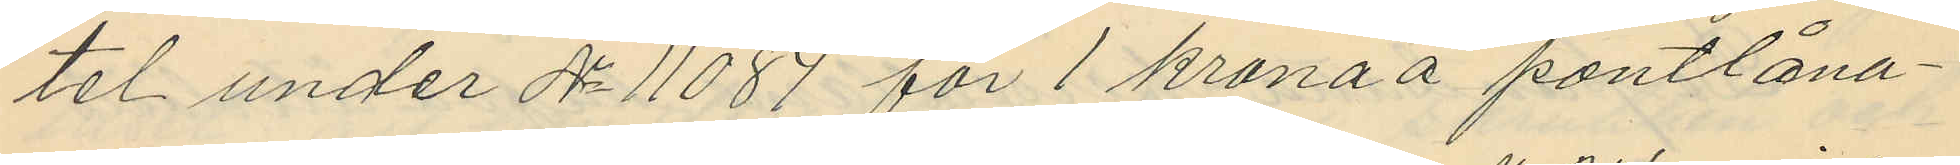tel under No 11084 för 1 krona å pantlåna¬
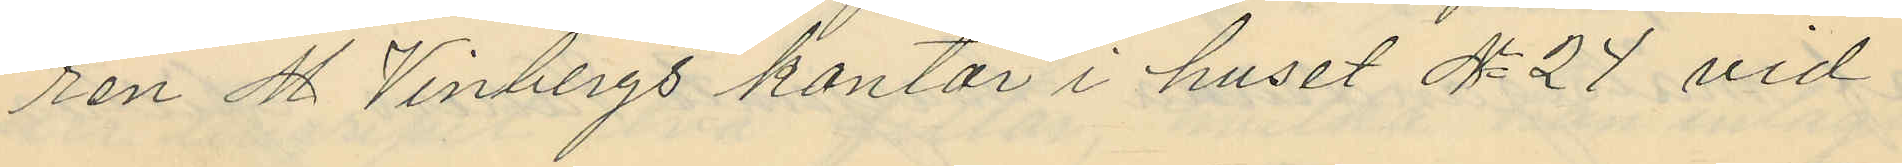ren M. Vinbergs kontor i huset No 24 vid
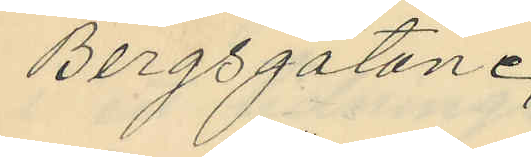Bergsgatan.
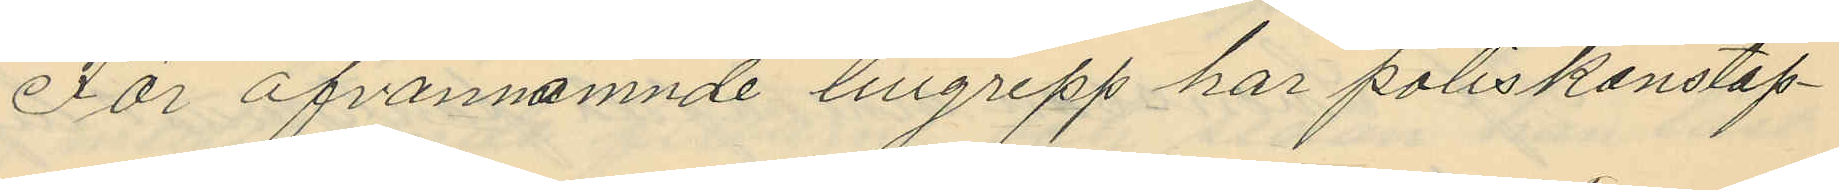För ofvannämnde tillgrepp har poliskonstap¬
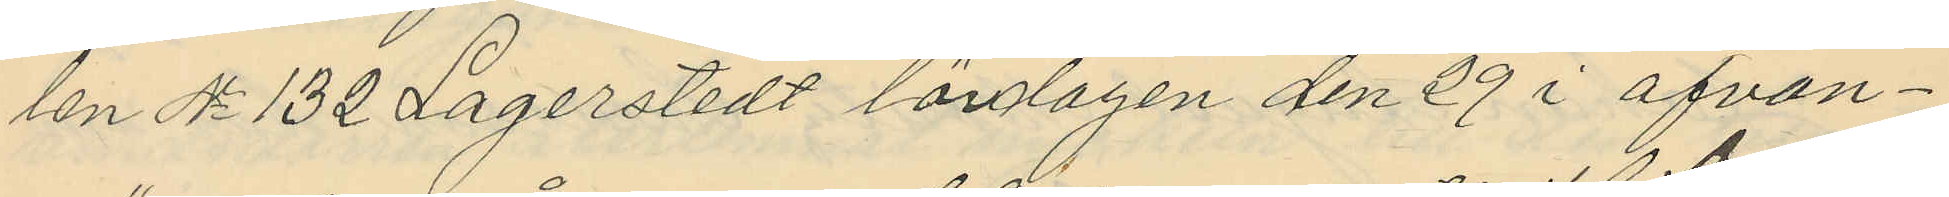len No 132 Lagerstedt lördlagen den 29 i ofvan¬
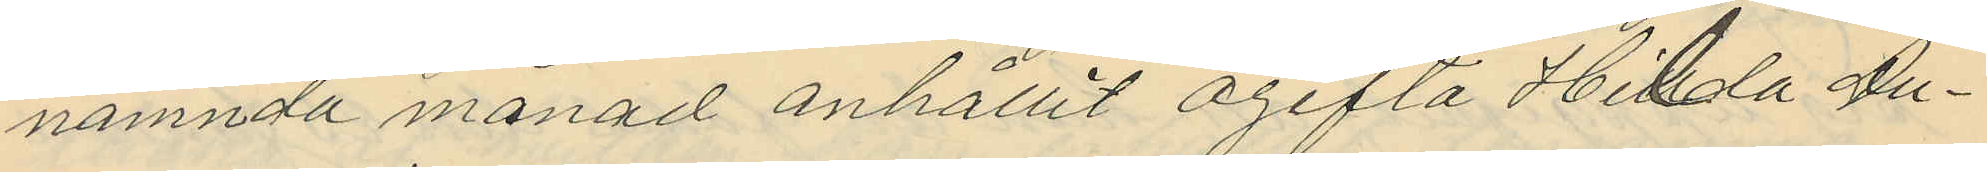nämnda månad anhållit ogifta Hilda Au¬
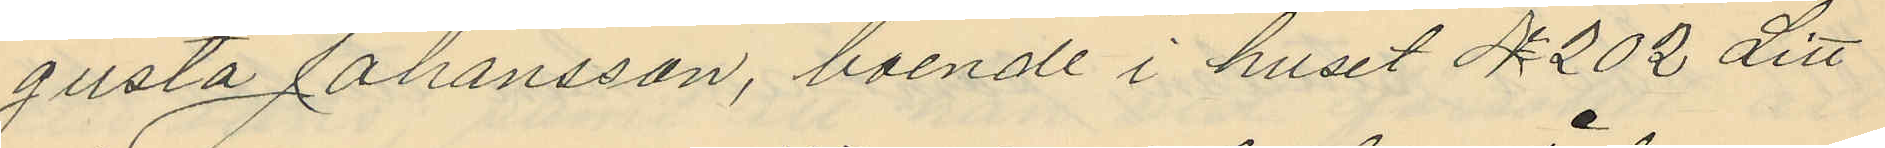gusta Johansson, boende i huset No 202 Litt
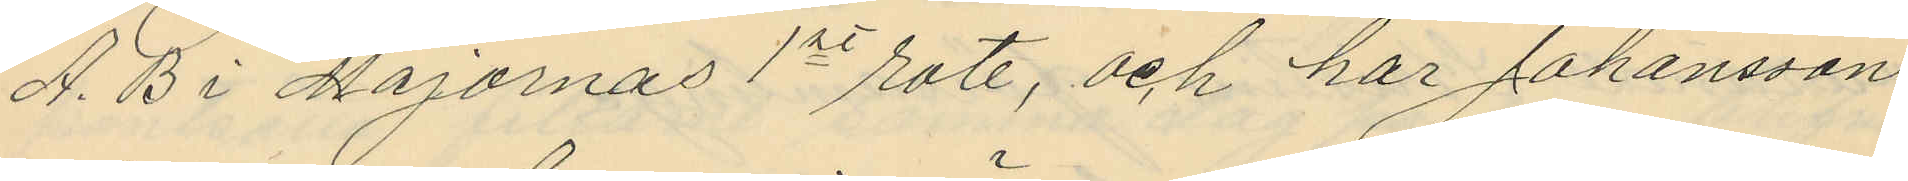A. B i Majornas 1te rote, och har Johansson
